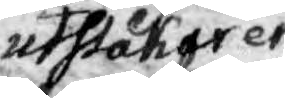utslakar en
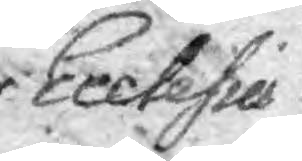Ecclesies¬
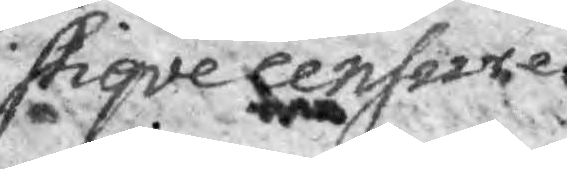stiqve censure.
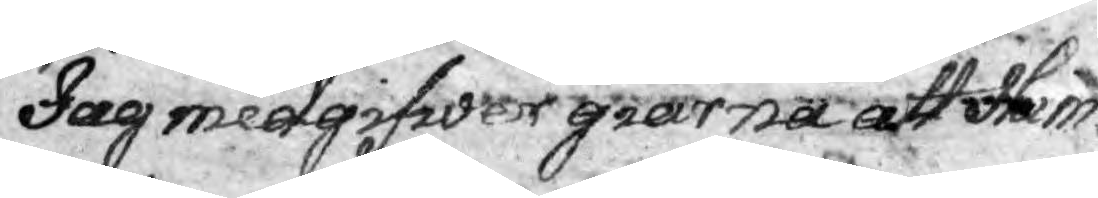Jag medgifwer giärna att Him¬
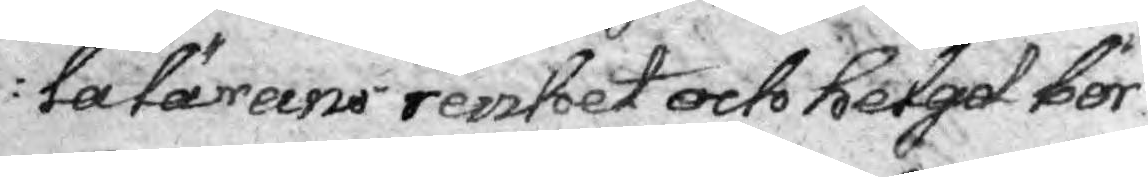lalärans renhet och helgd bör-
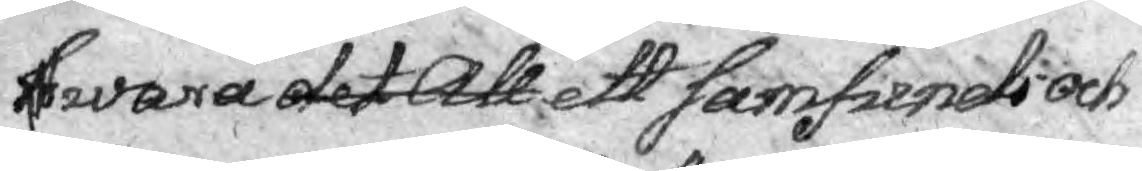wara det All ett Samfunds och
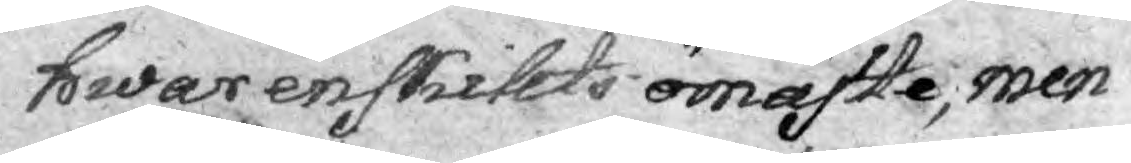hwar enskillts ömaste, men
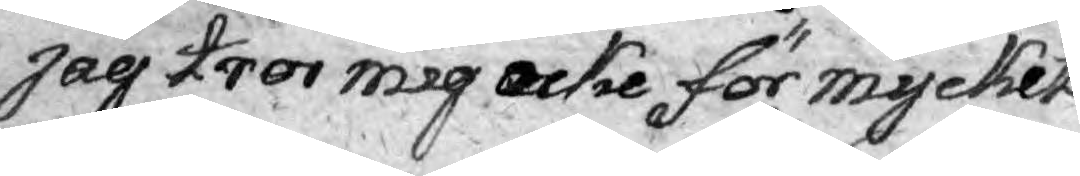jag tror mig icke för mycket
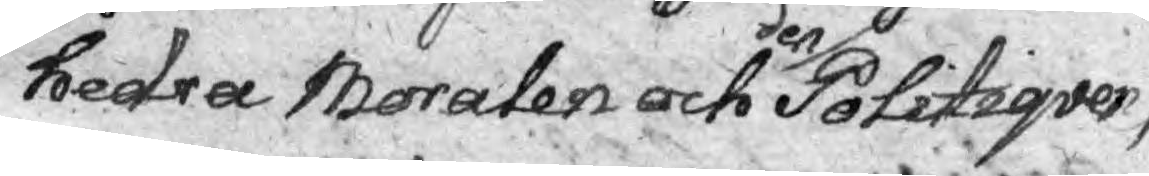hedra Moralen och den Politiqver,
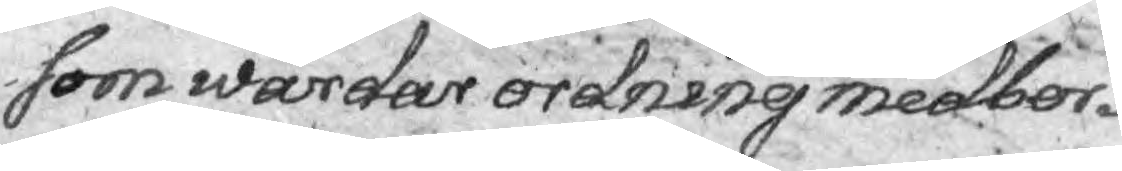som wårdar ordning medbor¬
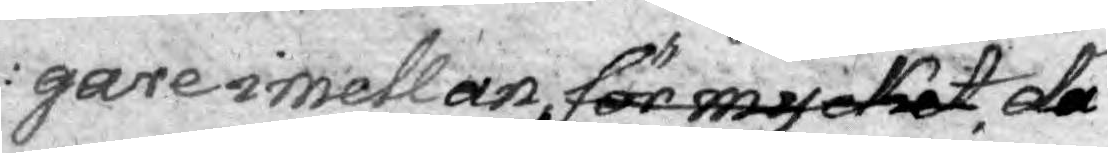gare imellan för mycket då
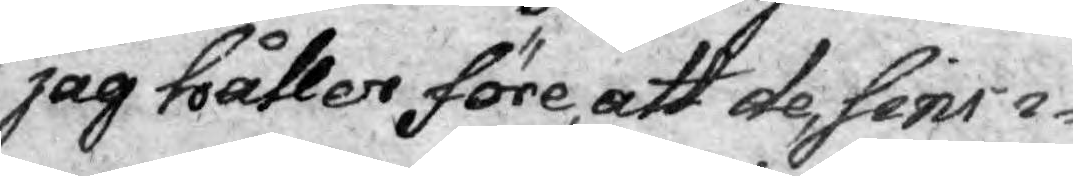jag håller före, att de, sins i¬
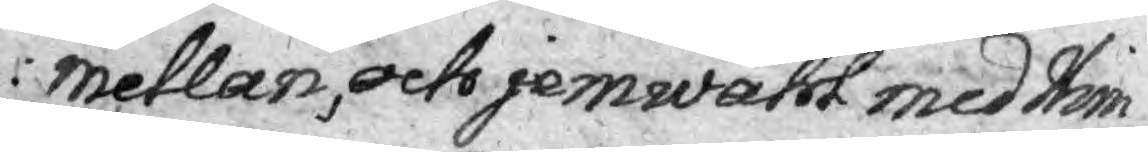mellan, och jemwähl med Him¬
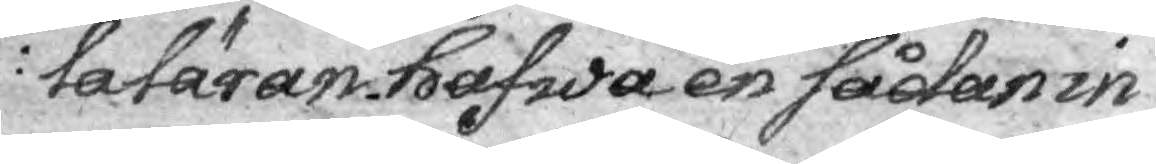laläran hafwa en sådan in
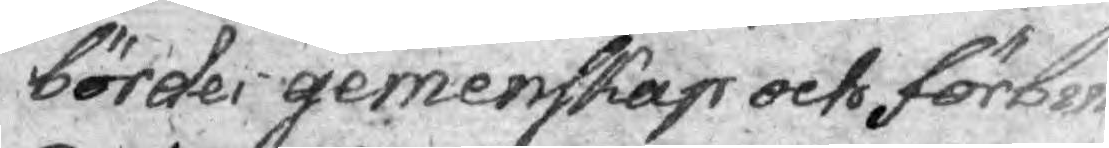bördes gemenskap octo förber¬
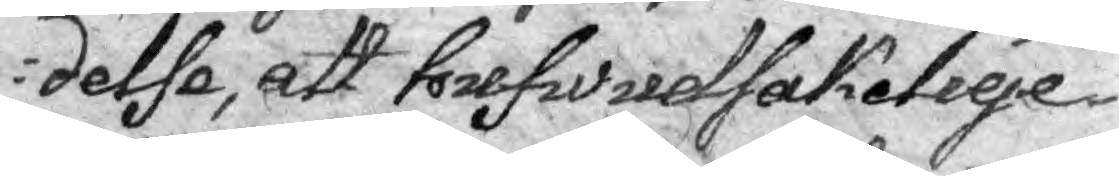delse, att hufwudsakelige
